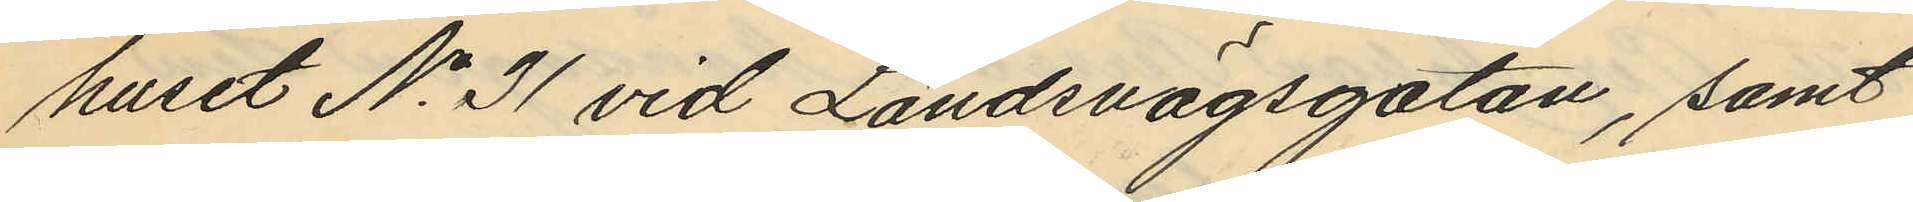huset No 31 vid Landsvägsgatan, samt
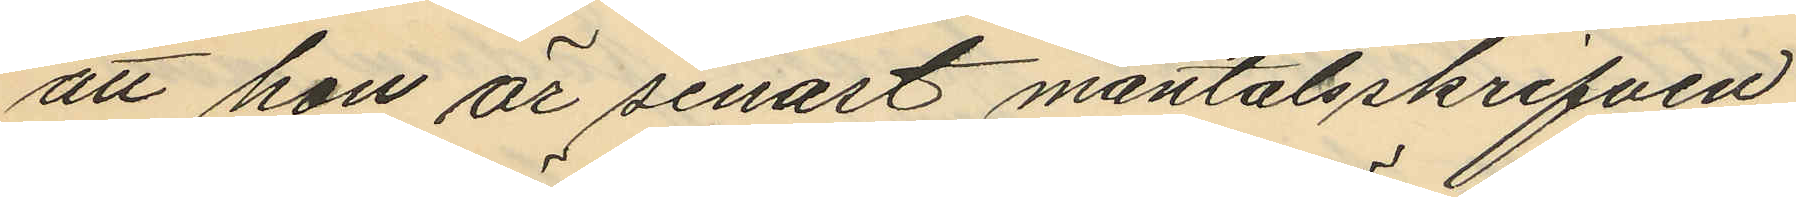att hon är senast mantalsskrifven
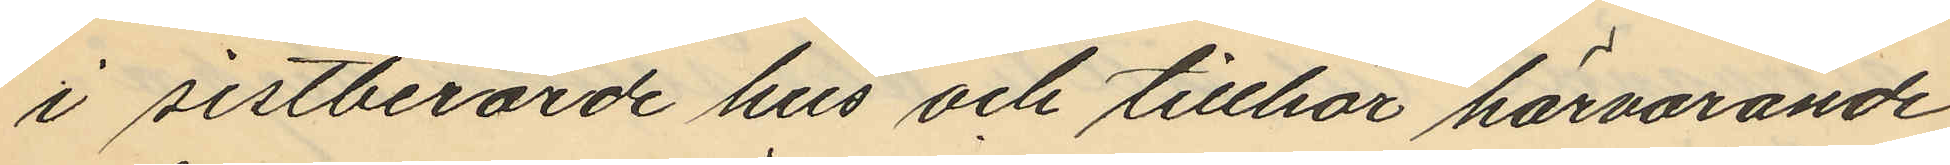i sistberörde hus och tillhör härvarande
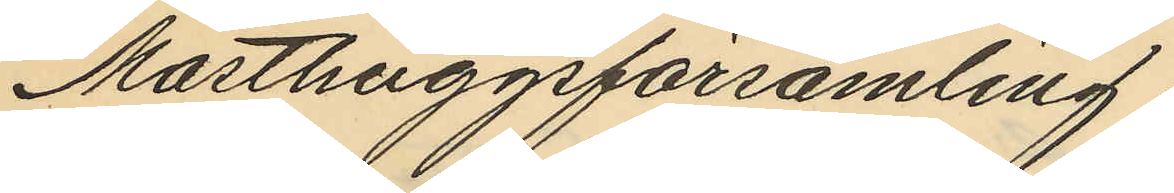Masthuggsförsamling.
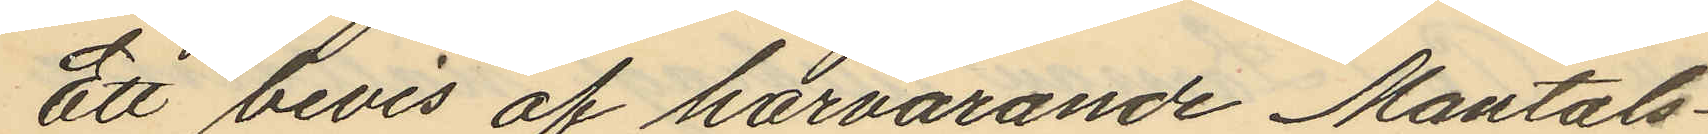Ett bevis af härvarande Mantals¬
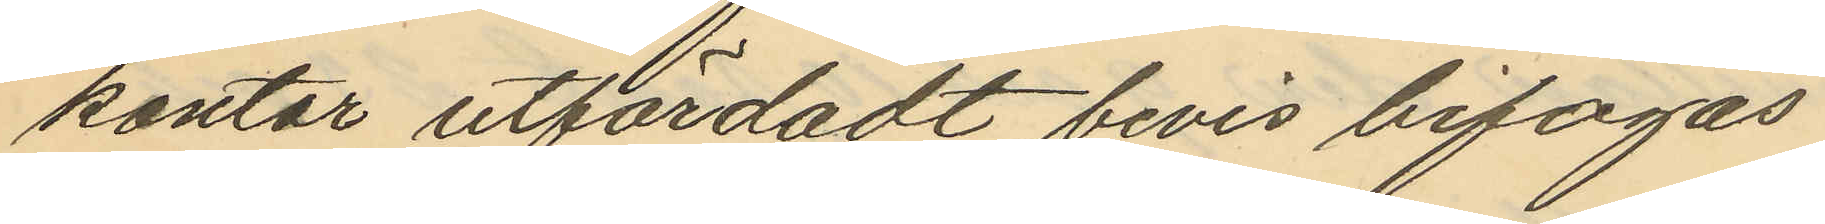kontor utfärdadt bevis bifogas.
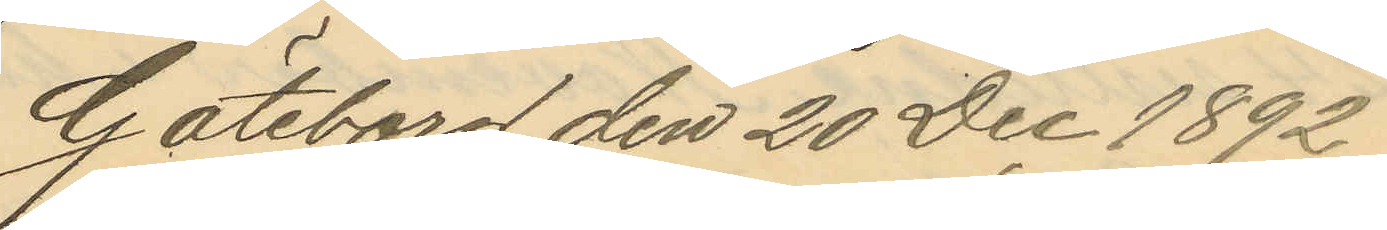Göteborg den 20 Dec 1892.
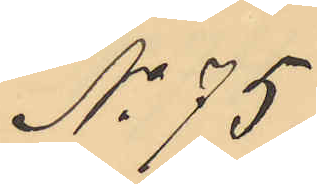No 75.
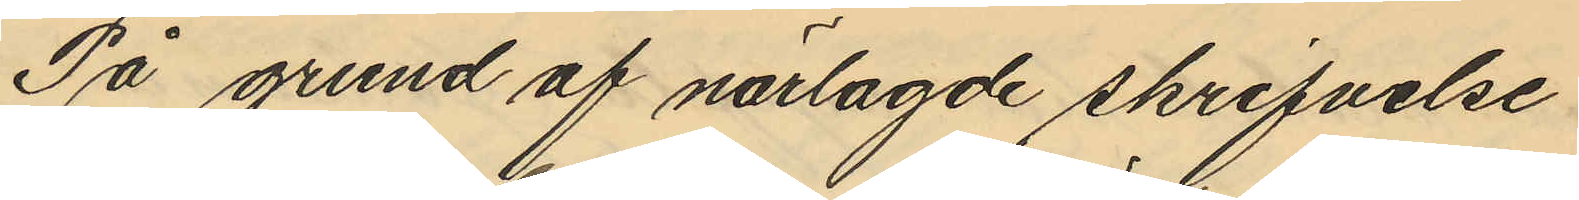På grund af närlagde skrifvelse
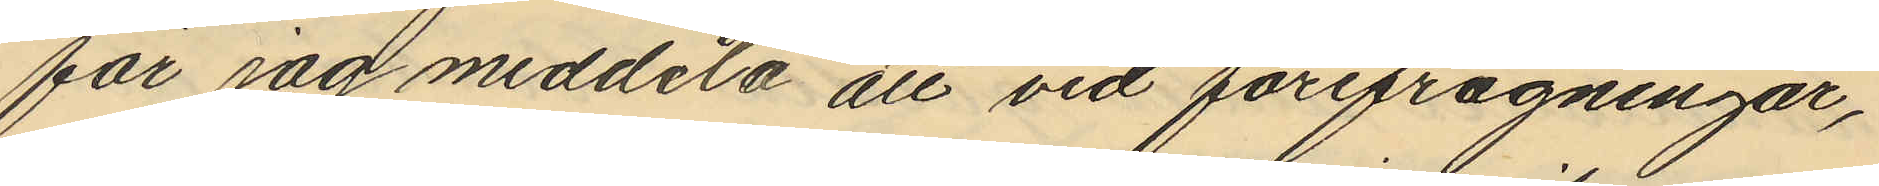får jag meddela att vid förefrågningar,
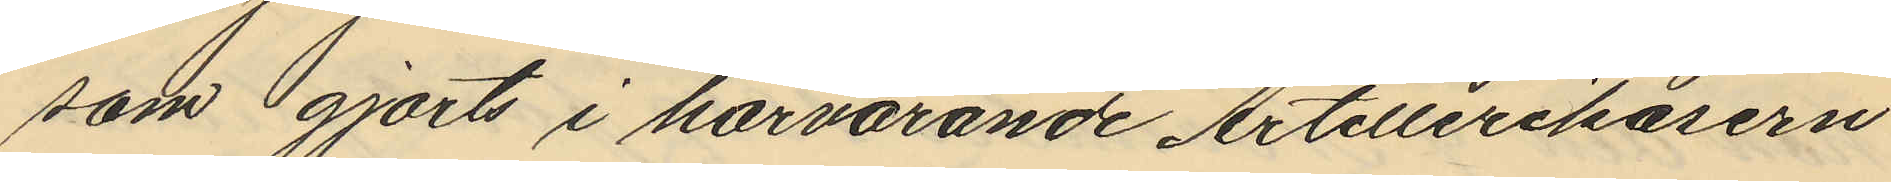som gjorts i härvarande Artillerikasern
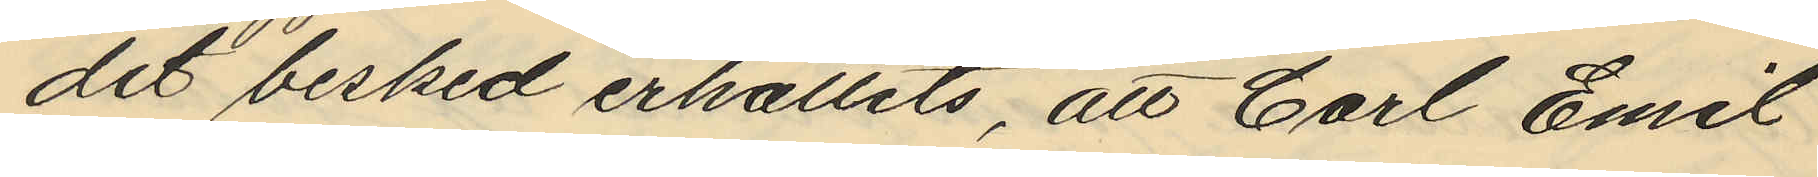det besked erhållits, att Carl Emil
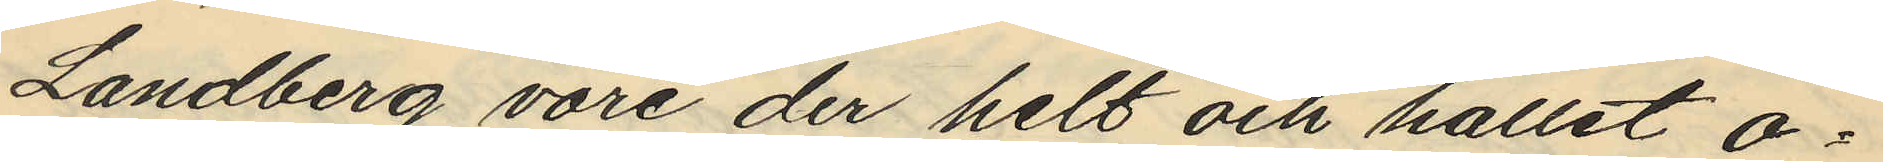Landberg vore der helt och hållet o¬
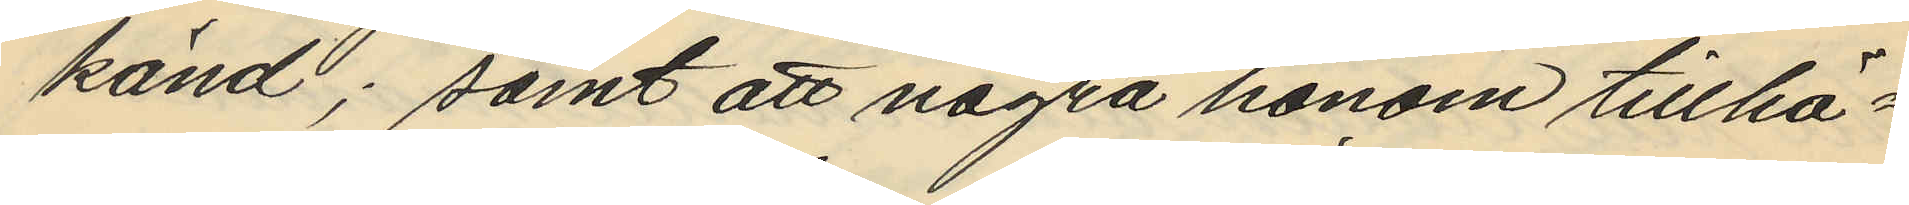känd; samt att några honom tillhö¬
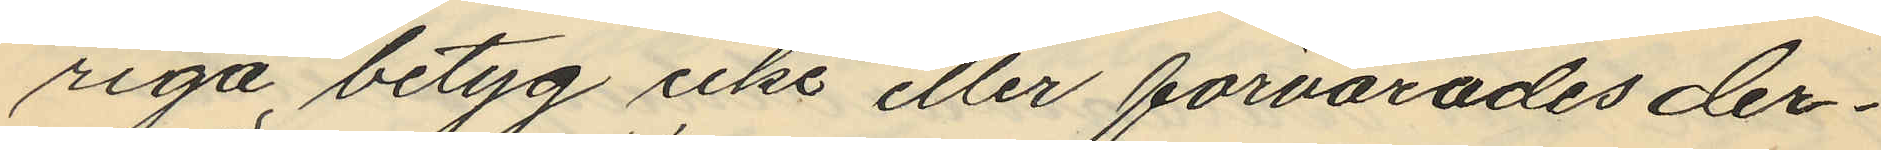riga betyg icke eller förvarades der¬
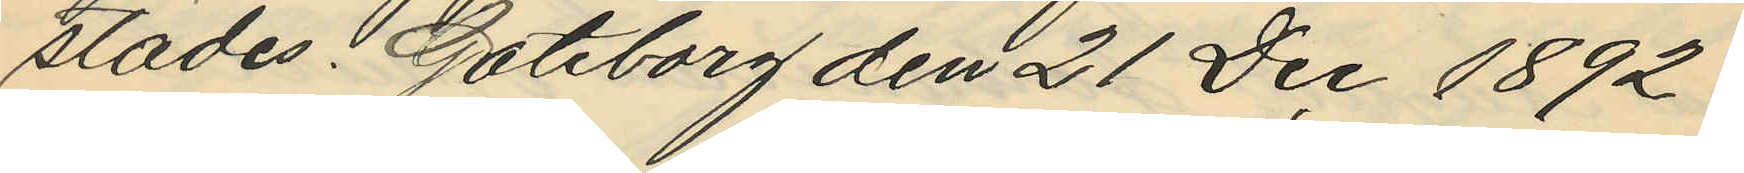städes. Göteborg den 21 Dec 1892.
